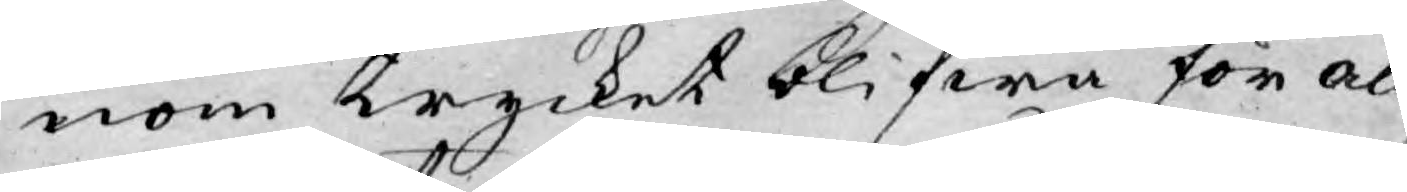nom trycket blifwa för all¬
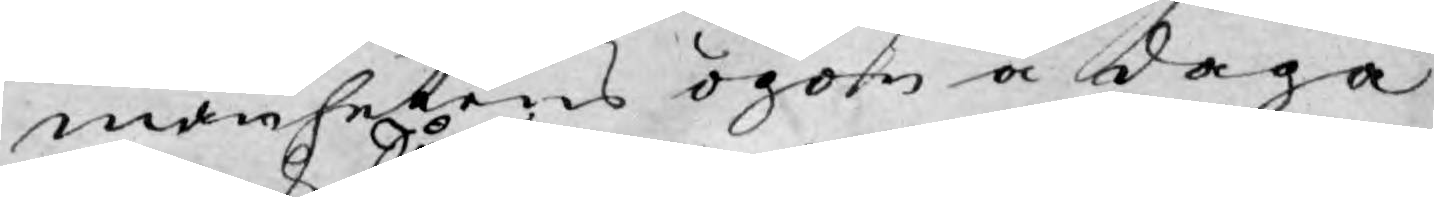manhetens ögon å daga
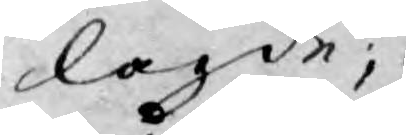lagde;
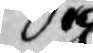Så
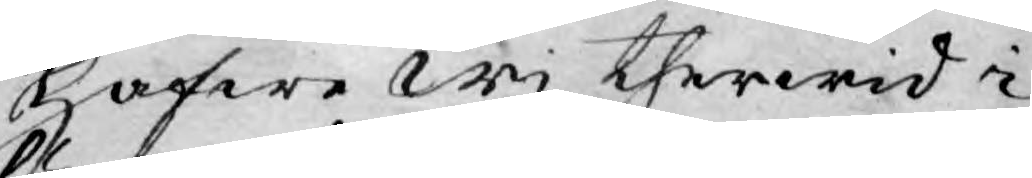hafwe wi therwid i
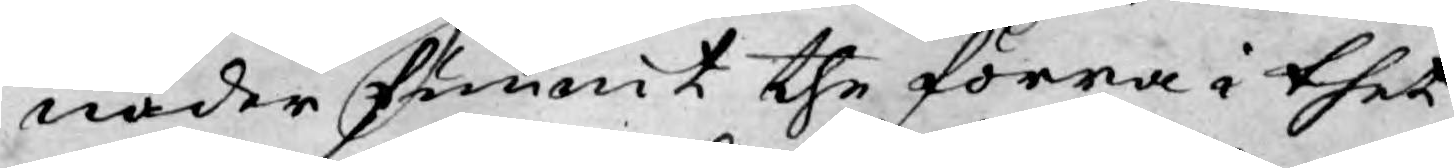nåder funnit the förra i thet¬
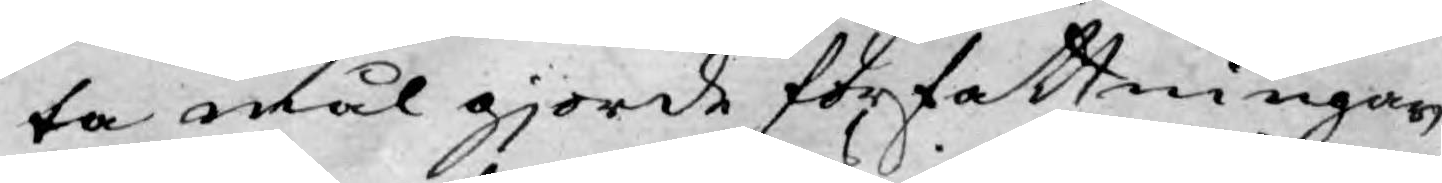ta mål gjorde författningar
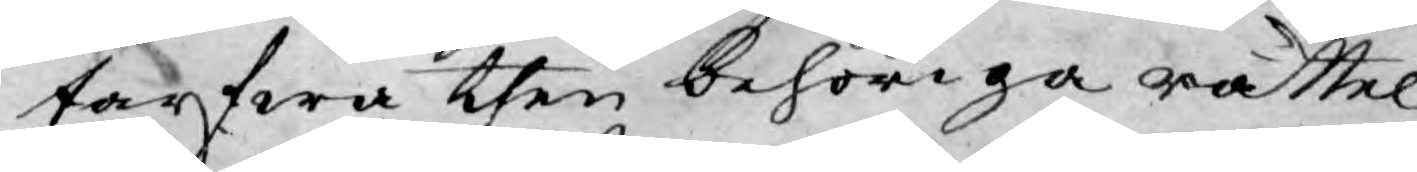tarfwa then behöriga rättel¬
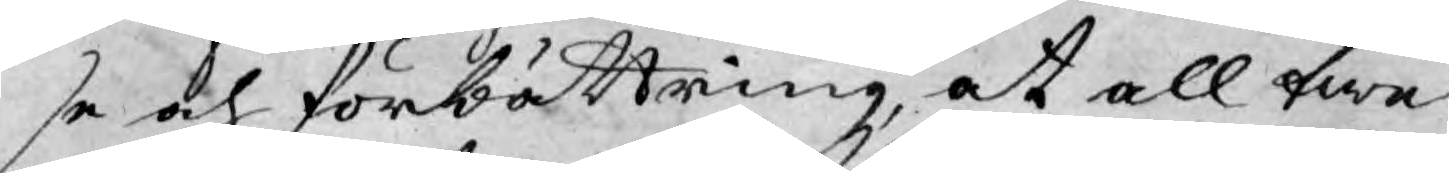se och förbättring, at all twe¬
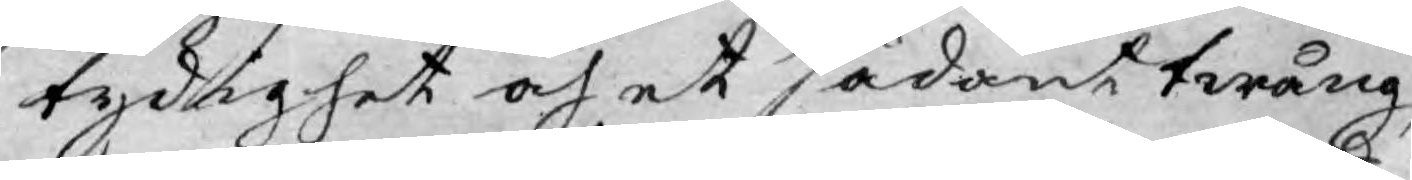tydighet och et sådant twång,
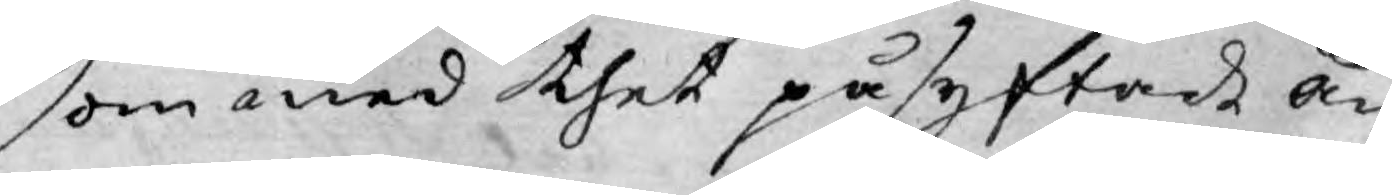som med thet påsyftade än¬
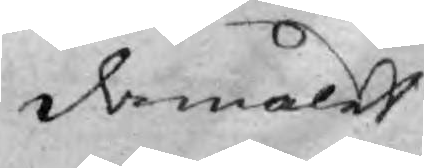damålet
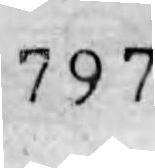797
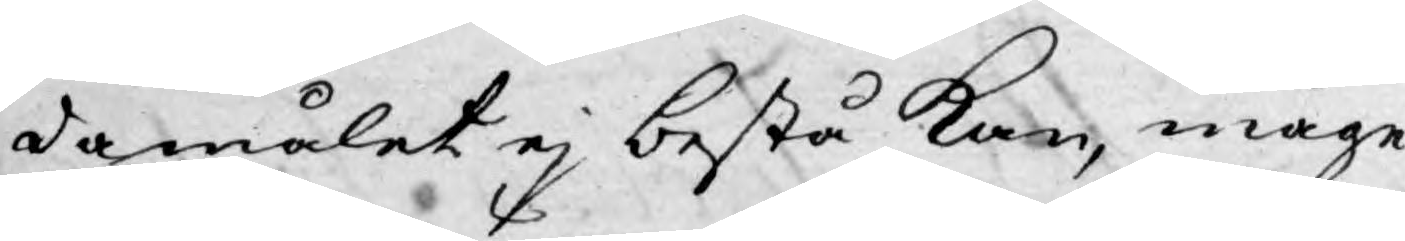damålet ej bestå kan, måge
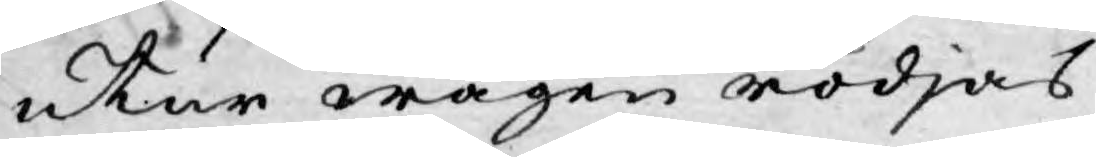utur wägen rödjas.
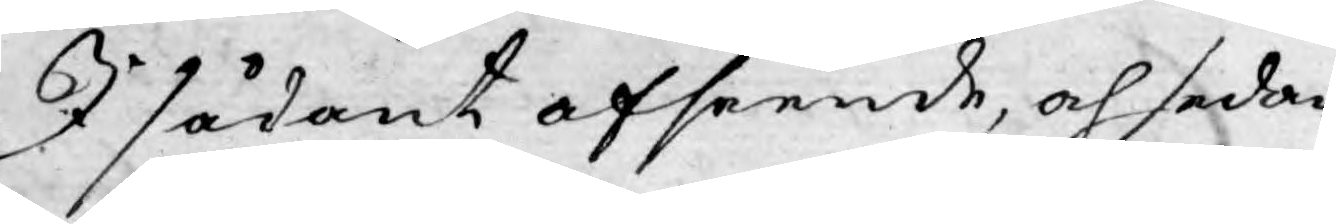I sådant afseende, och sedan
